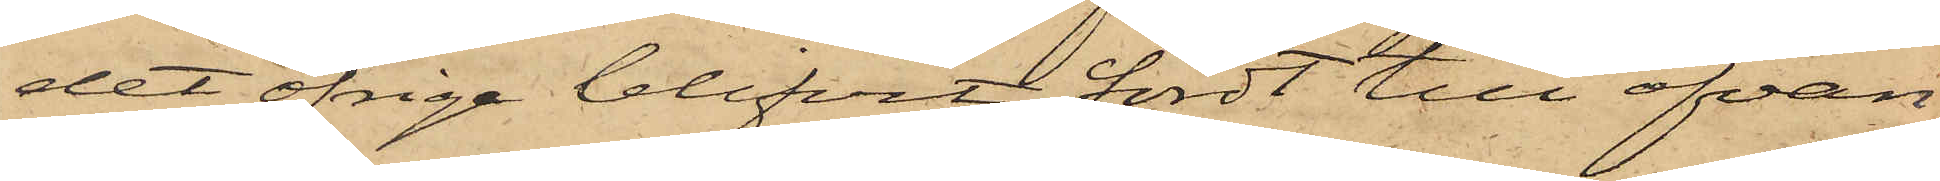det öfriga blifvit fördt till ofvan¬
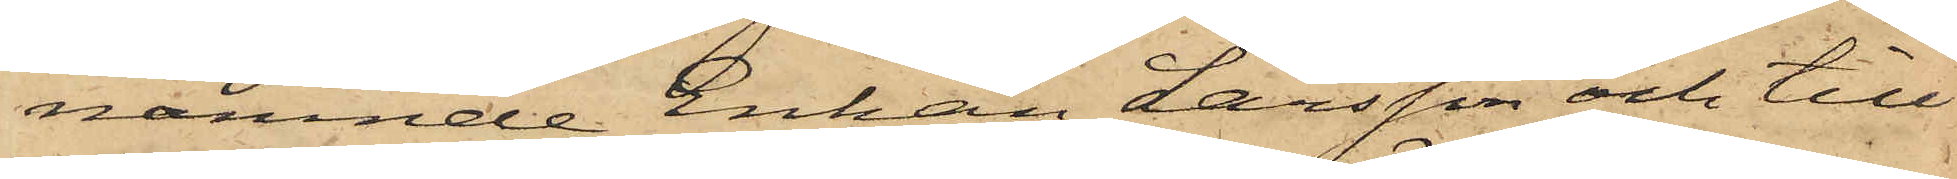nämnde Enkan Larsson och till
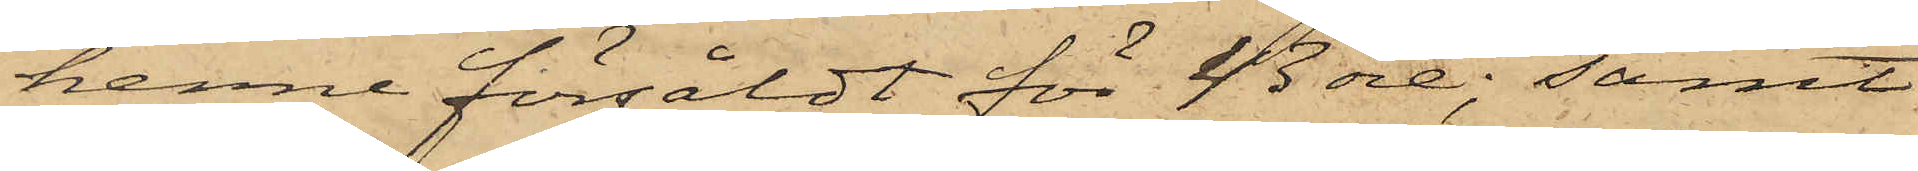henne försåldt för 43 öre; samt
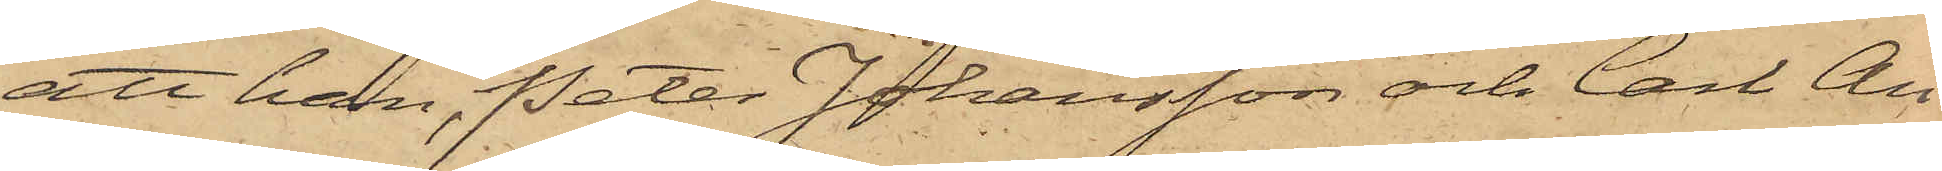att han, Peter Johansson och Carl An¬
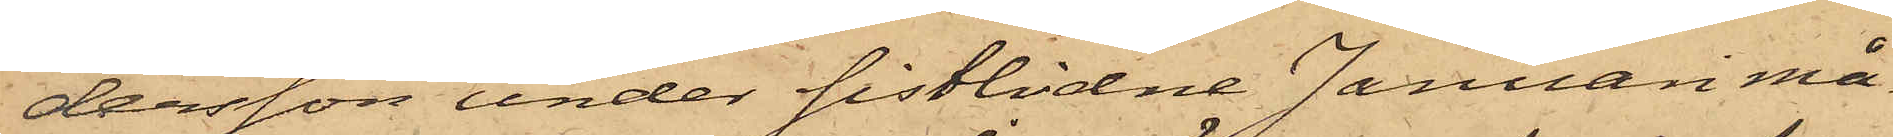dersson under sistlidne Januari må¬
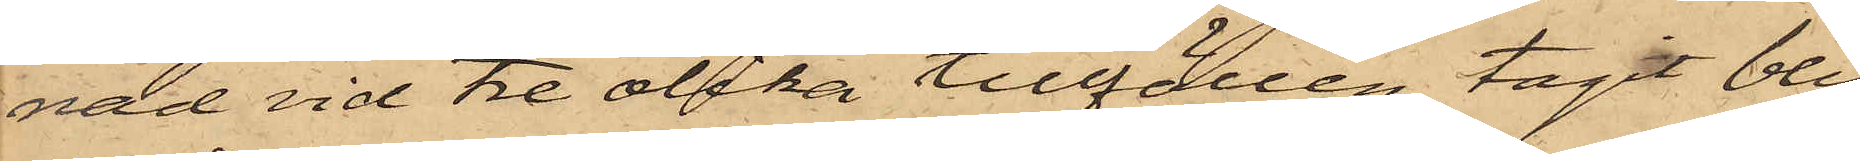nad vid tre olika tillfällen tagit bly¬
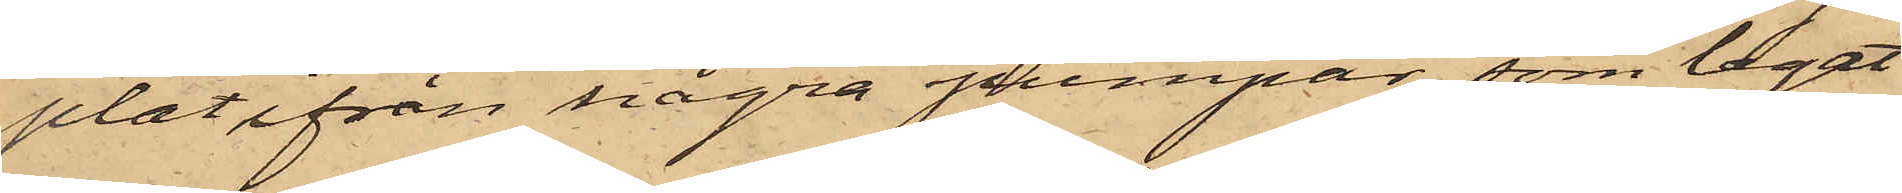plåt ifrån några pumpar, som legat
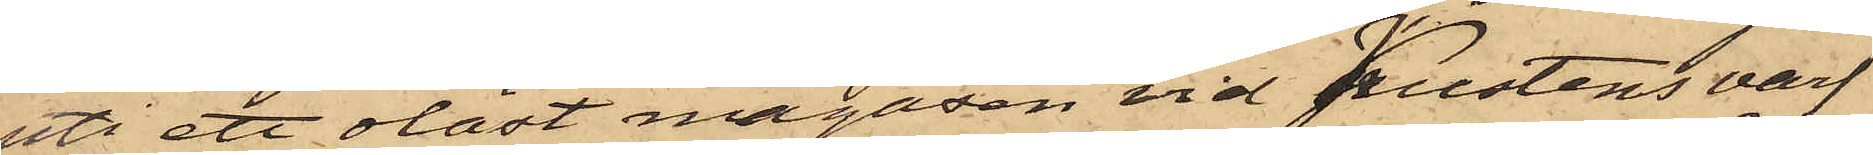uti ett olåst magasin vid Pustens varf
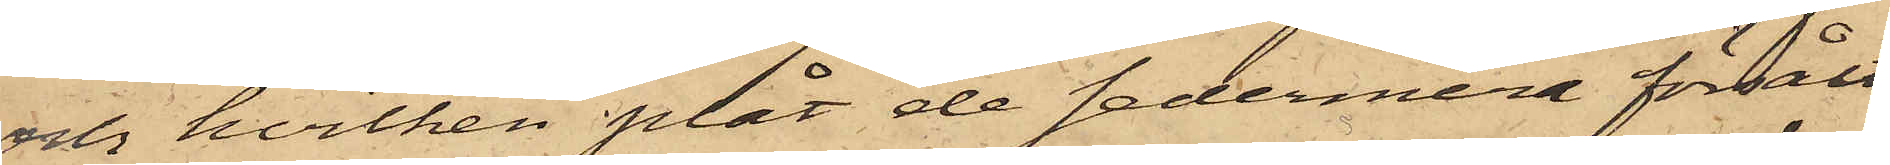och hvilken plåt de sedermera försålt
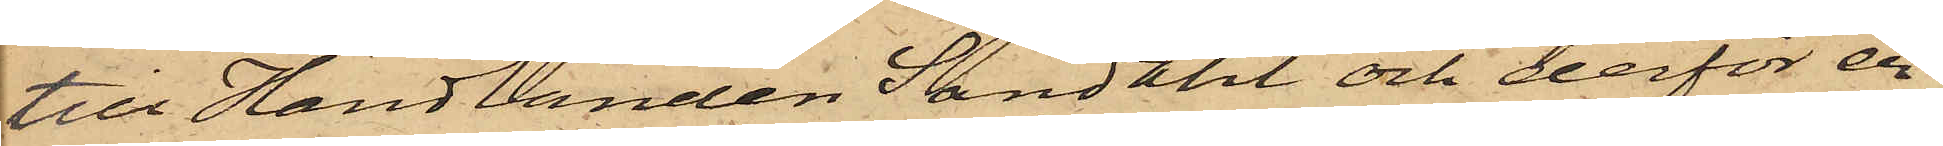till Handlanden Sandahl och derför en
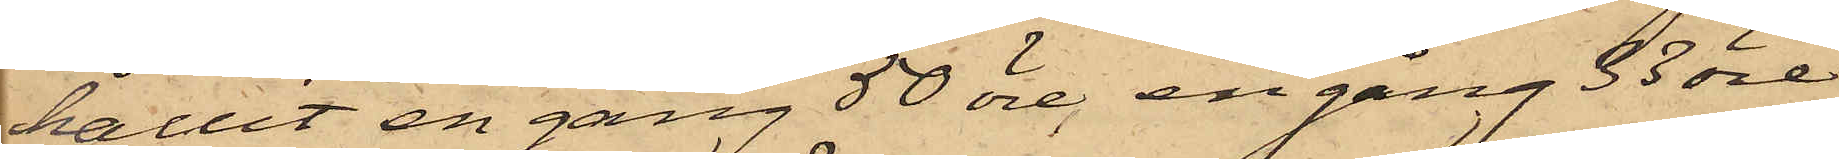hållit en gång 50 öre, en gång 33 öre
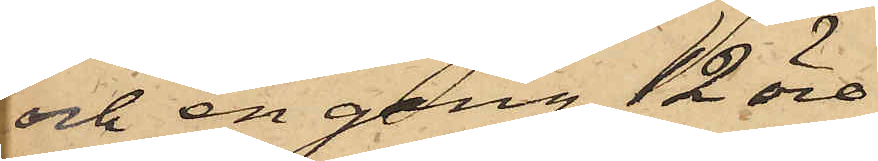och en gång 12 öre.
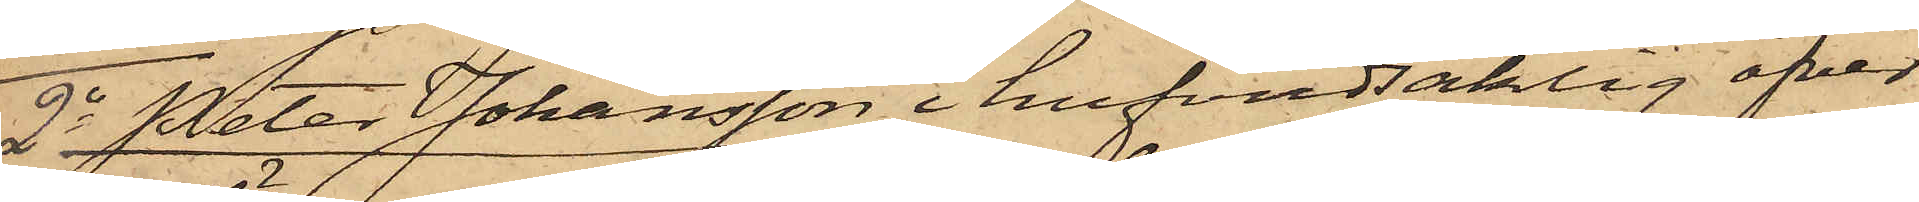2o Peter Johansson i hufvudsaklig öfver¬
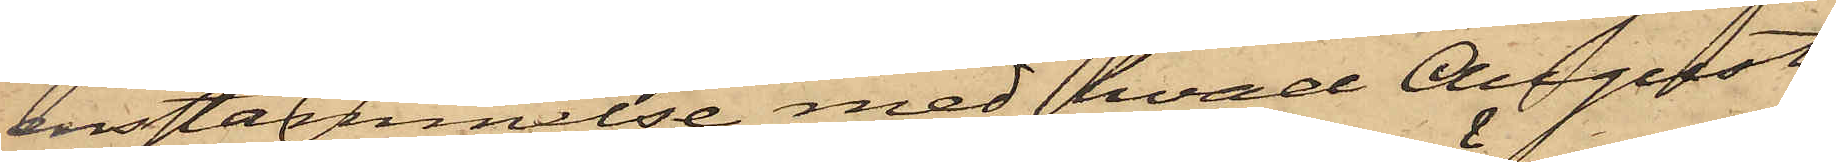ensstämmelse med hvad August
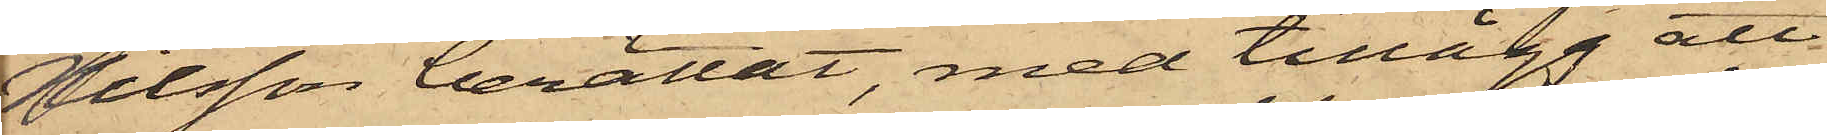Nilsson berättat, med tillägg att
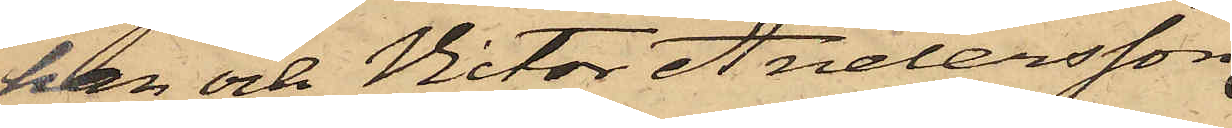han och Victor Andersson,
